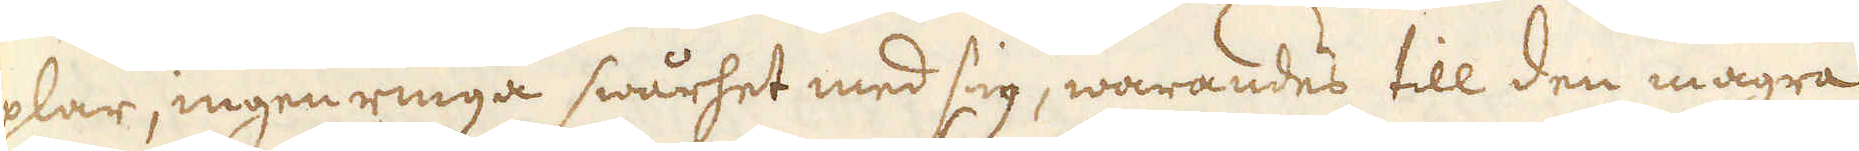plar, ingen ringa swårhet med sig, warandes till den magra
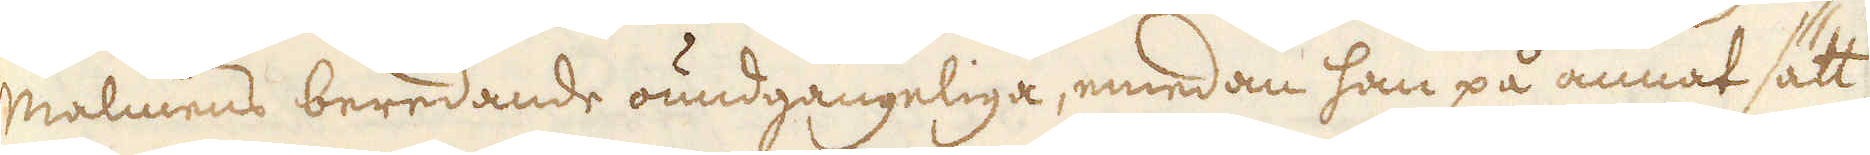malmens beredande oundgängeliga, emedan han på annat sätt
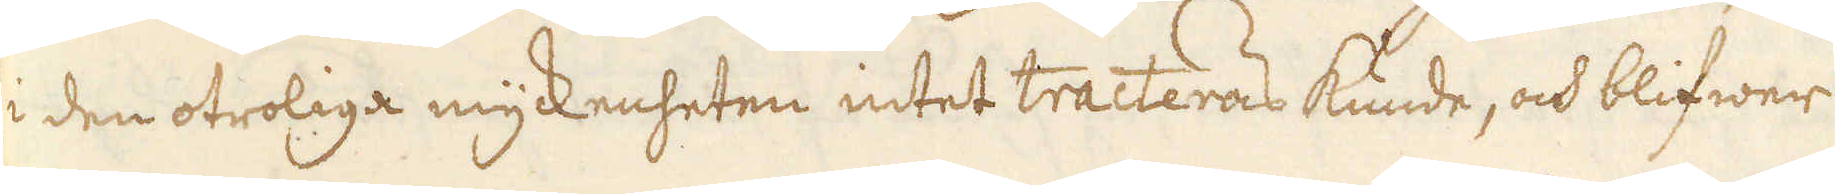i den otroliga myckenheten intet tracteras kunde, och blifwer
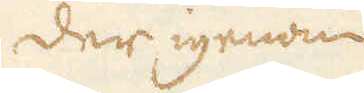der igenom
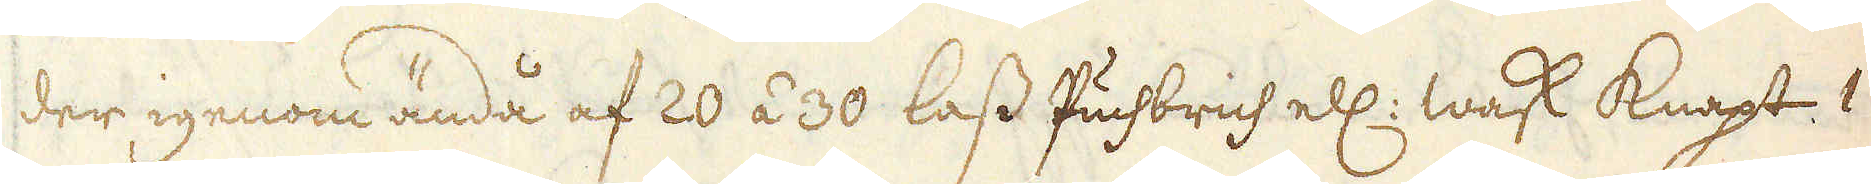der igenom ändå af 20 á 30 lass Puchbrich ell: Wask knapt 1
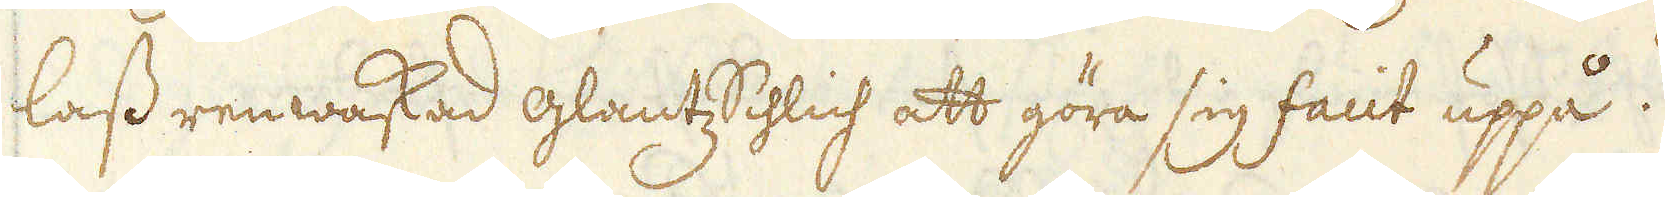lass renwaskad glantz Schlich att göra sig facit uppå.
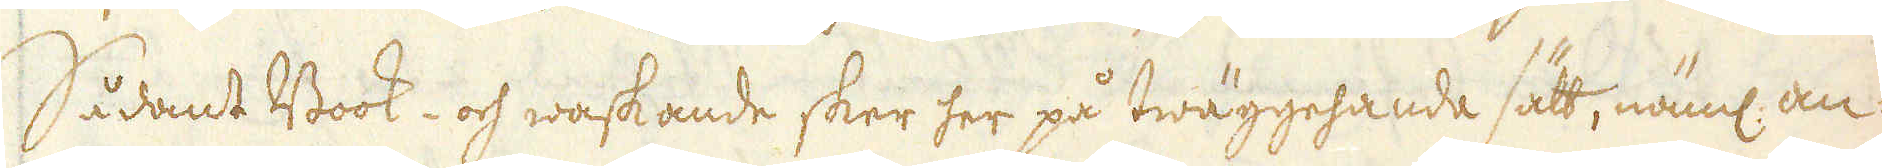Sådant Book- och waskande sker her på twäggehanda sätt, näml: an-
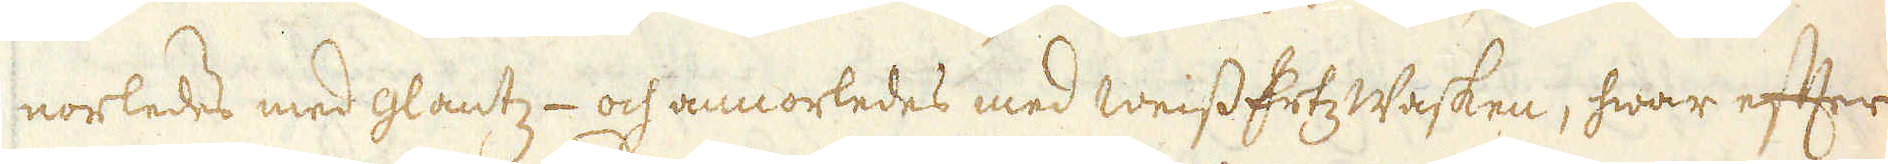norledes med glantz- och annorledes med weiss Ertz Wasken, hwar efter
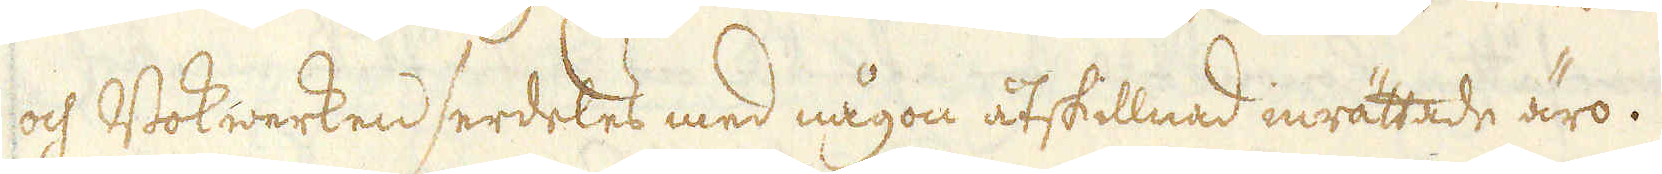och Bokwerken serdeles med någon åtskillnad inrättade äro.
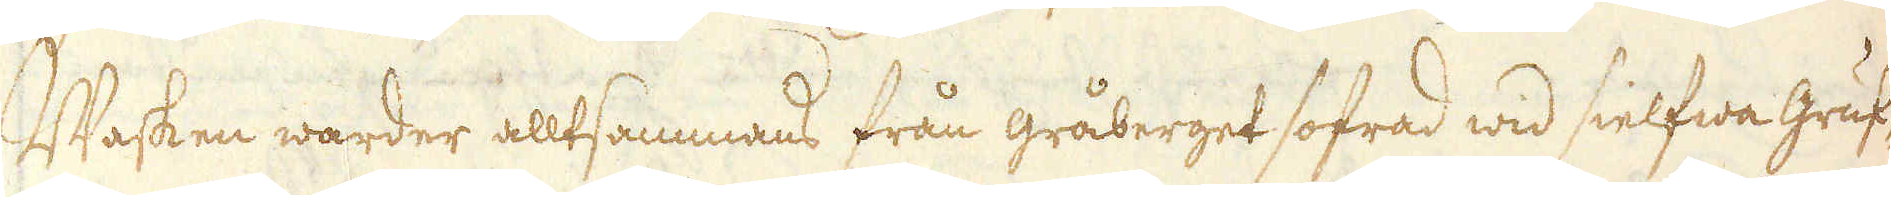Wasken warder alltsammans från gråberget sofrad wid sielfwa Gruf-
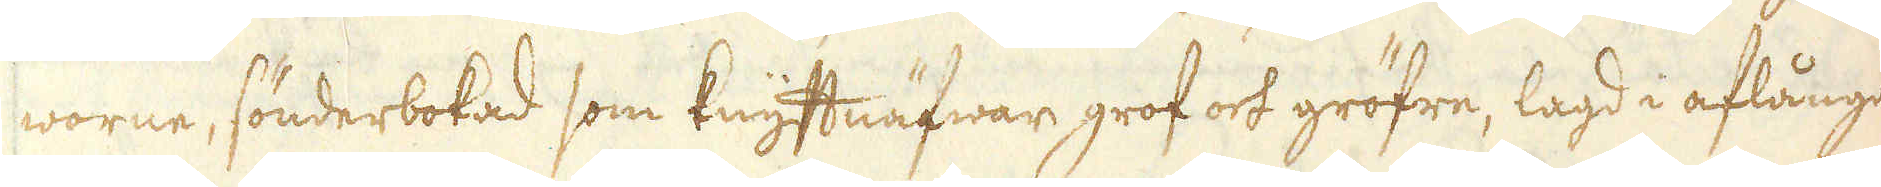worne, sönderbokad som knythnäfwar grof och gröfre, lagd i aflånga
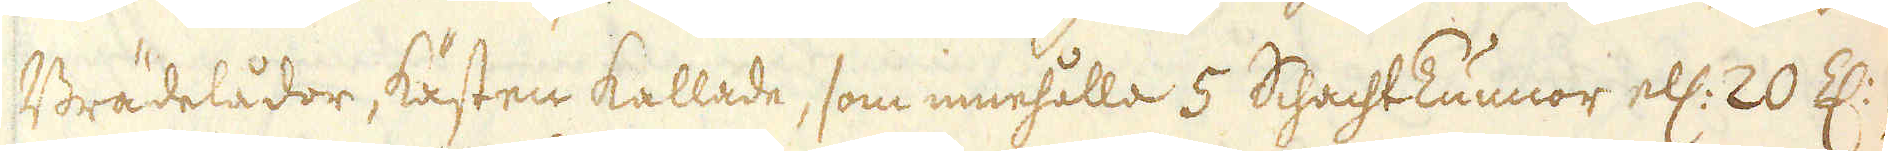Brädelådor, kästen kallade, som innehålla 5 SchachtTunnor ell: 20 Z:,
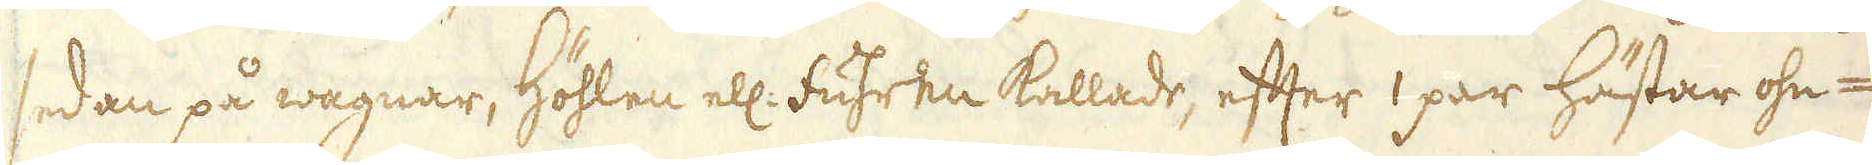sedan på wagnar, Höhlen ell: Fuhren kallade, efter 1 par hästar ohn-
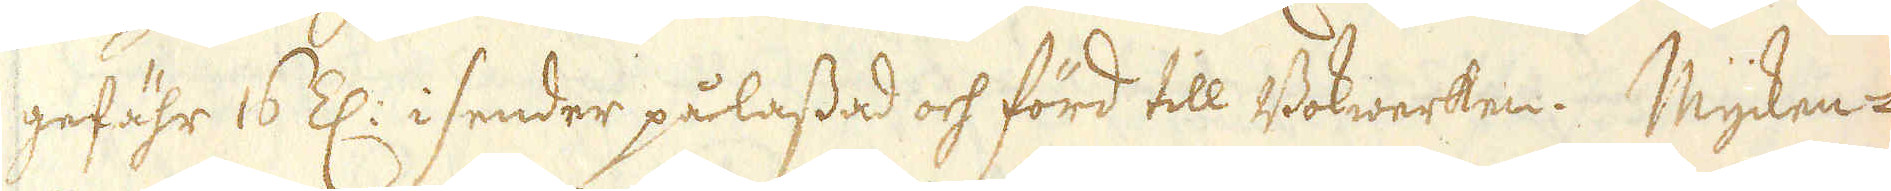gefähr 16 Z: i sender pålassad och förd till Bokwerken. Mycken-
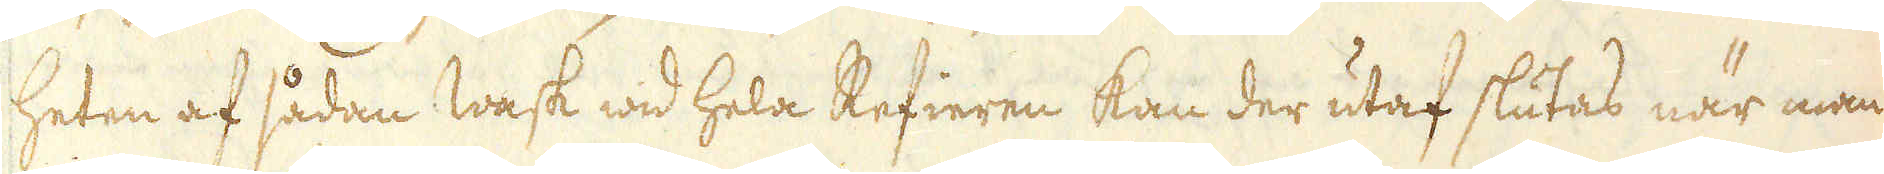heten af sådan wask wid hela Refieren kan der utaf slutas när man
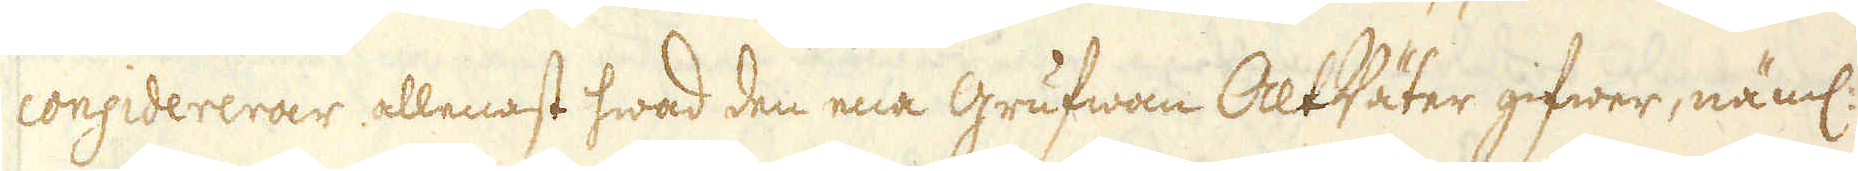considererar allenast hwad den ena grufwan Alt Väter gifwer, näml:
